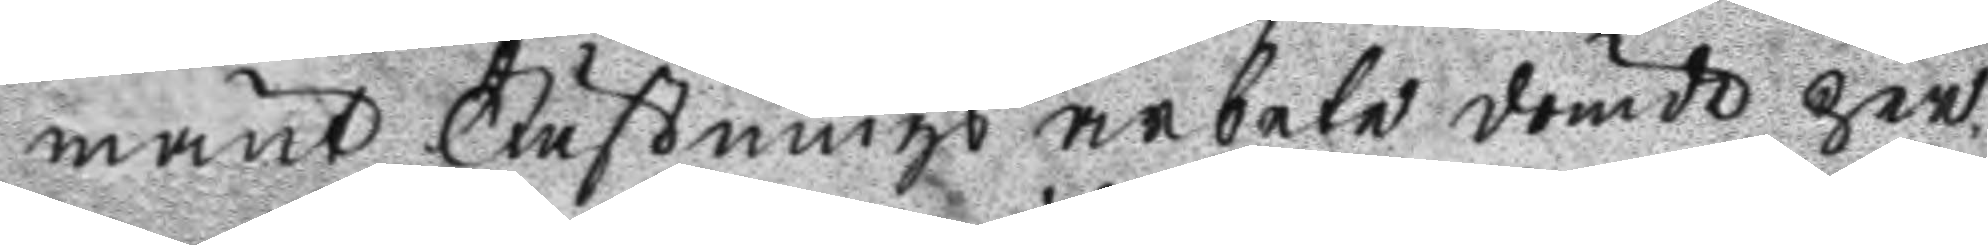mänt Fästningsarbete dömde per¬
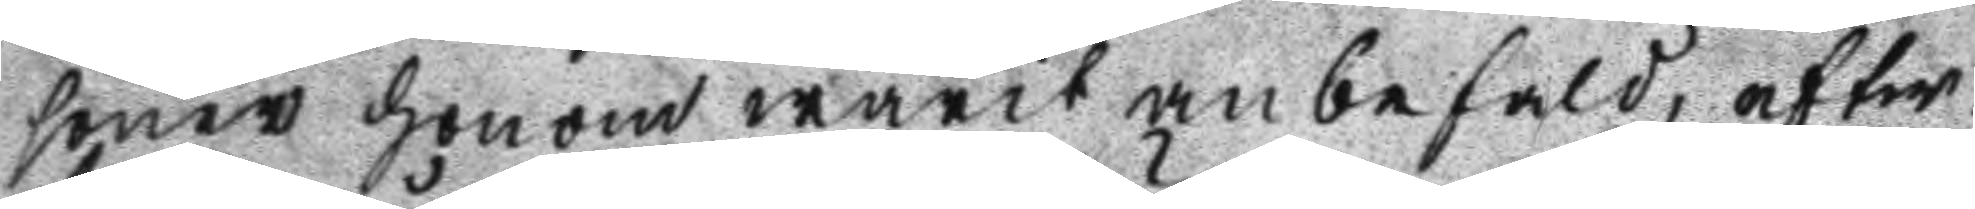soner honom warit anbefald, efter
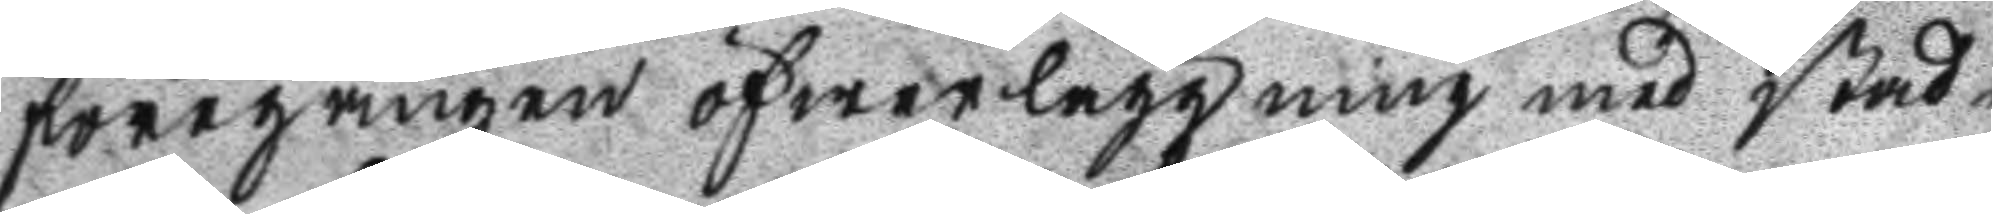föregången öfwerläggning med stad¬
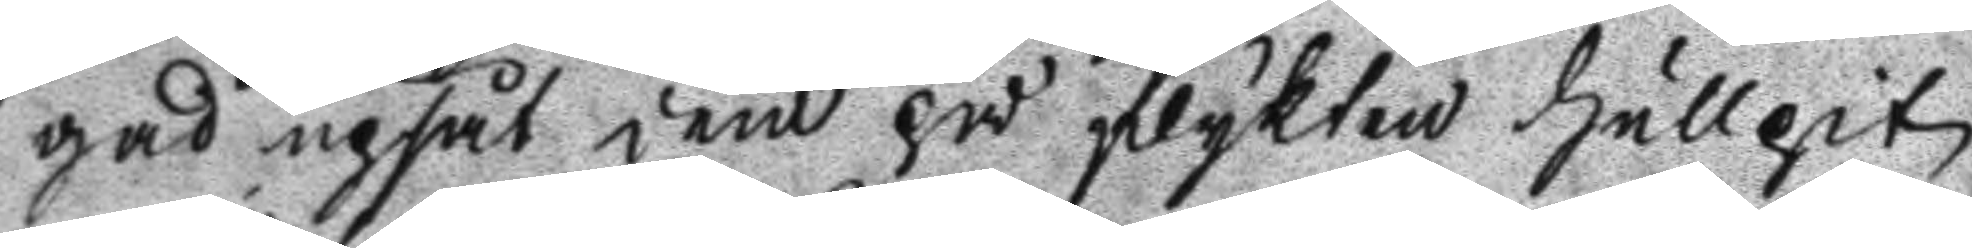gad upsåt dem på flykten hullpit
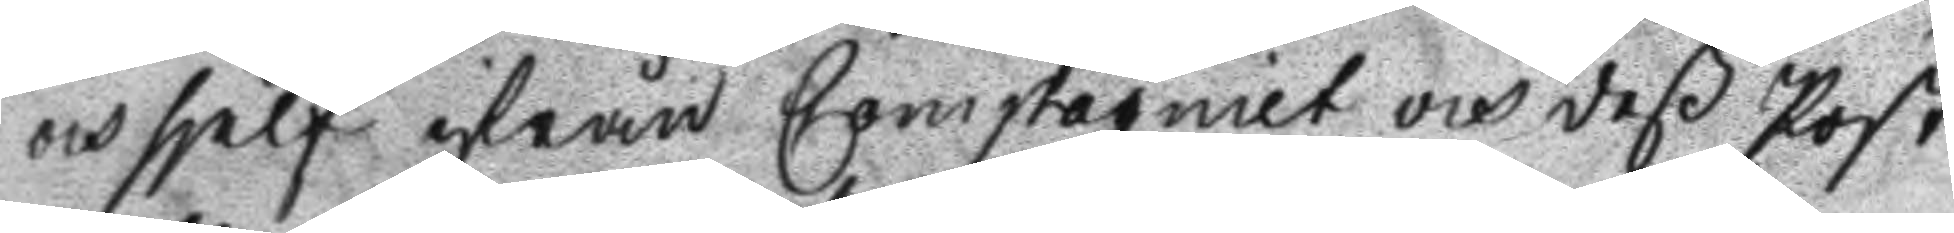och sjelf ifrån Compagniet och deß Post
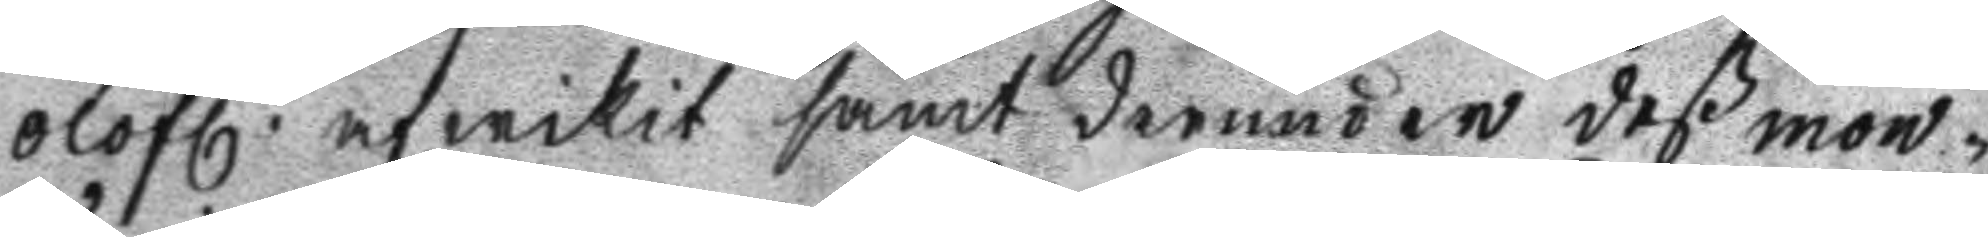olofl. afwikit samt derunder deß mon¬
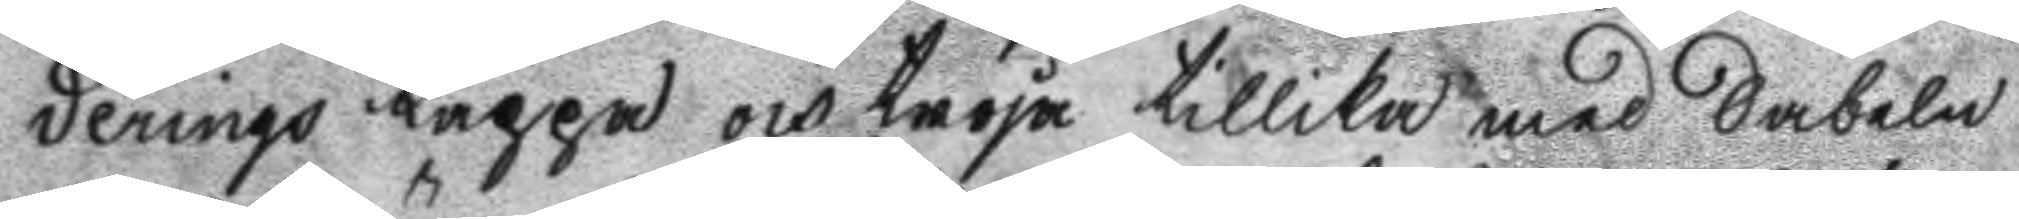derings Kappa och tröja tillika med Sabeln
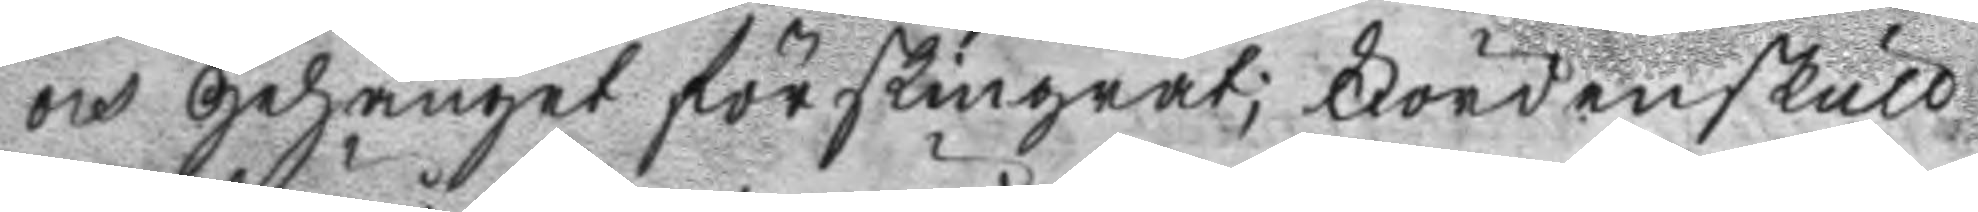och Gehänget förskingrat; Fördenskull
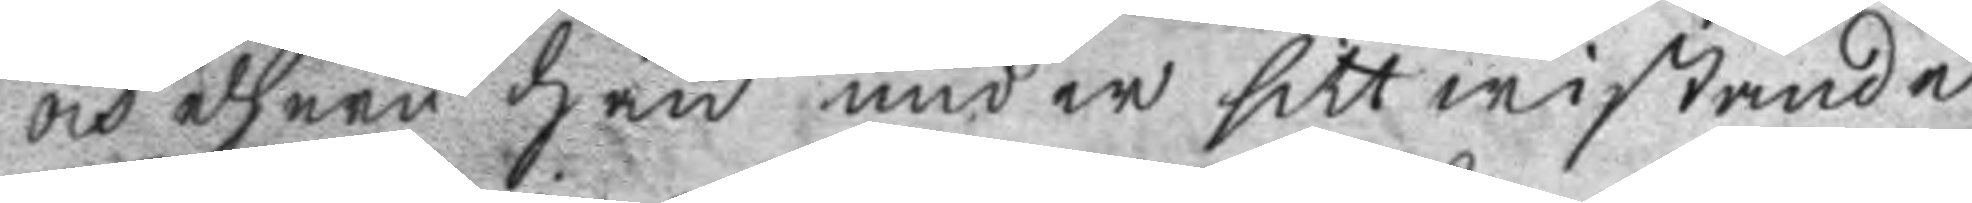och ehuru han under sitt wistande
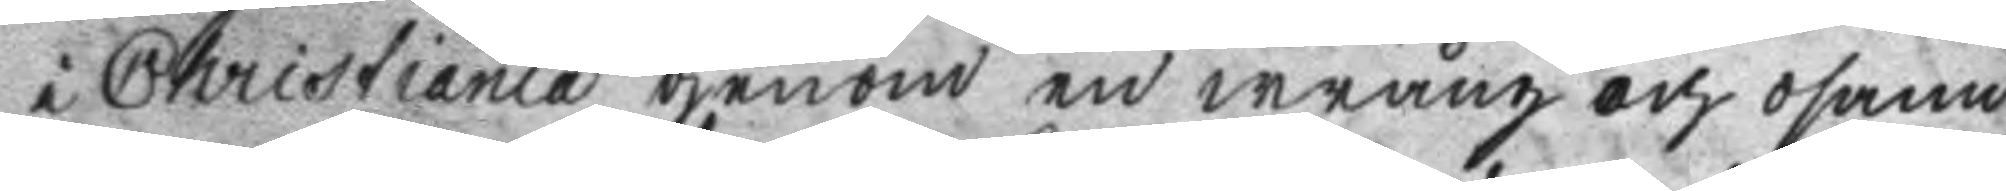i Christiania genom en wrång och osann
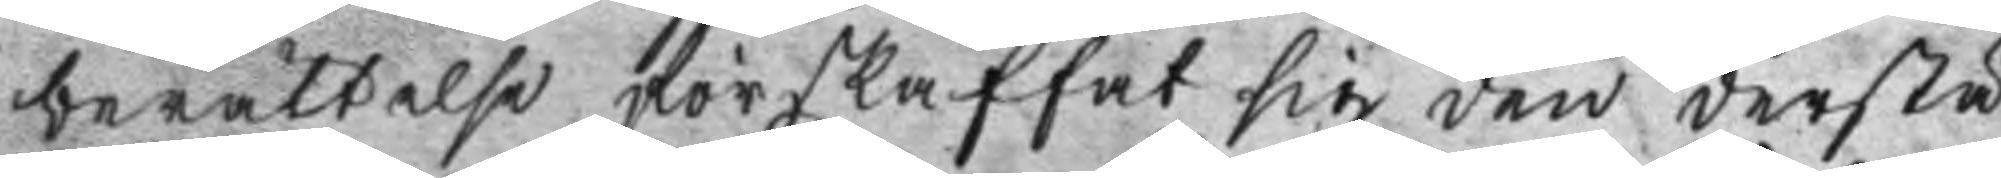berättelse förskaffat sig den derstä
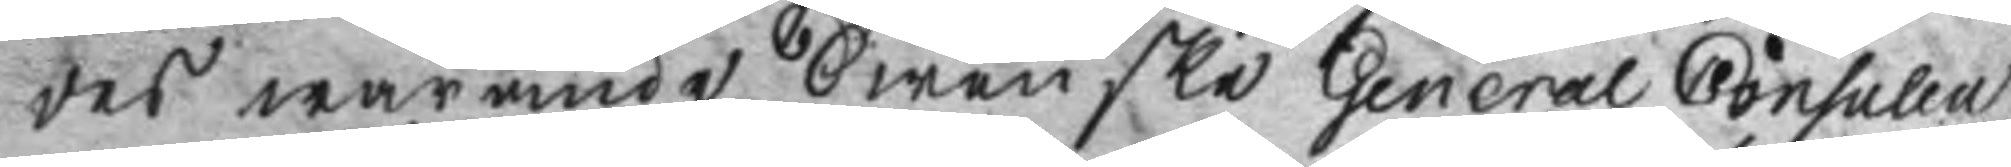des warande Swenska General Consulen
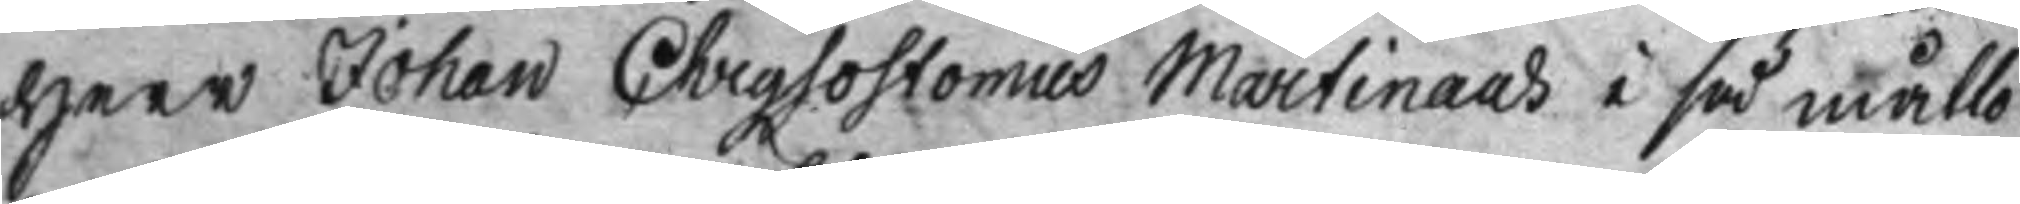Herr Johan Chrysostomus Martinaus i så måtto
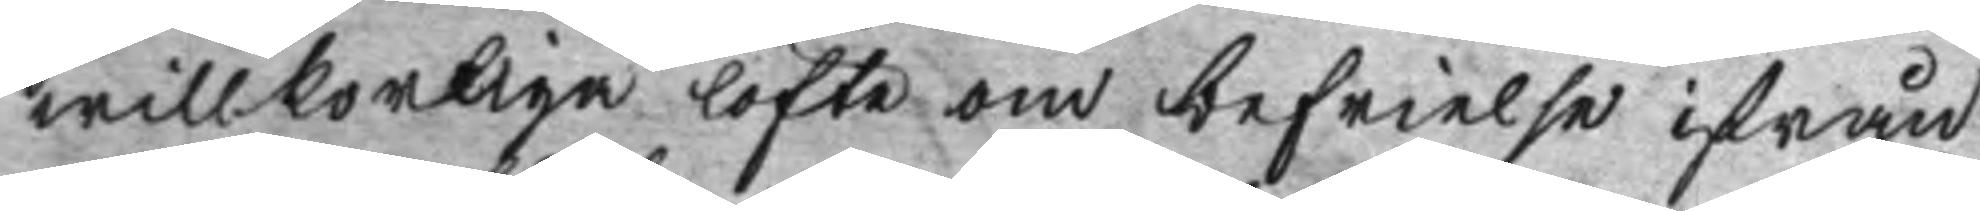willkorliga löfte om befrielse ifrån
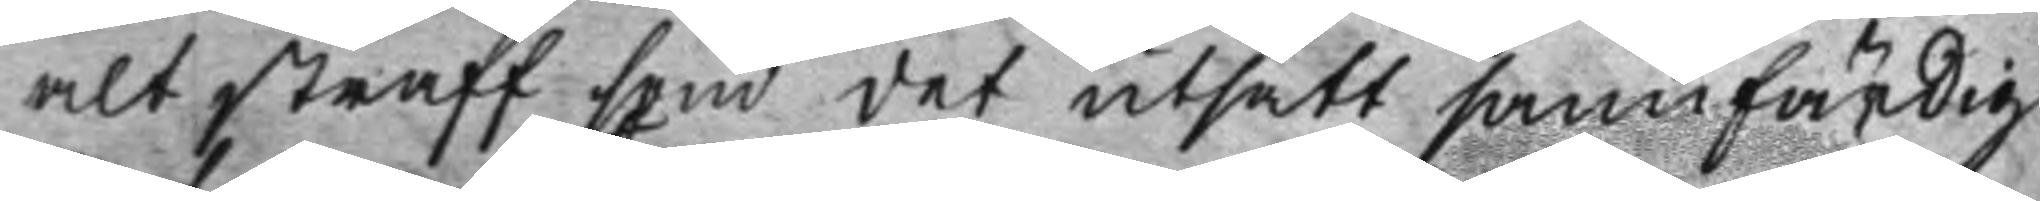alt straff som det utsatt sannfärdig
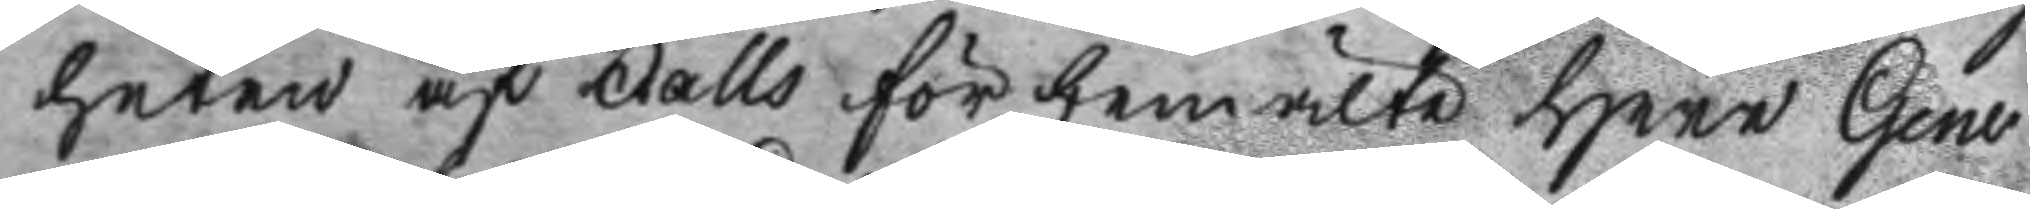heten af Falls förbemälte Herr Gene
